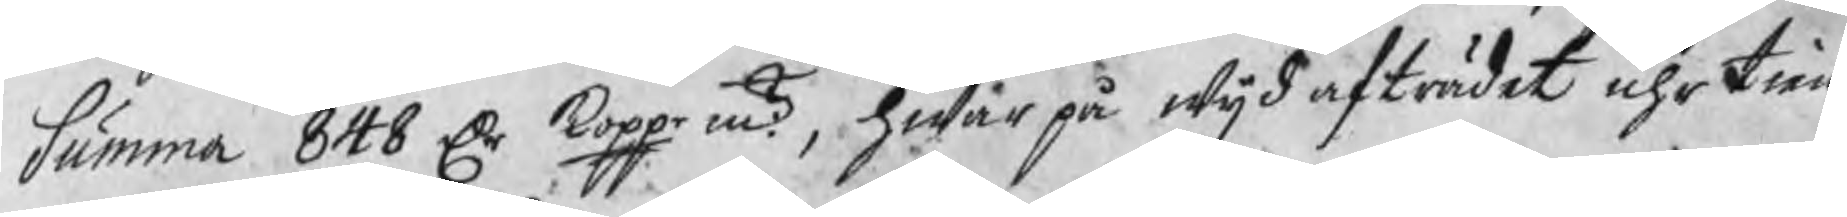Summa 848 Dr koppr mt., hwar på wijd afträdet uhr tien¬
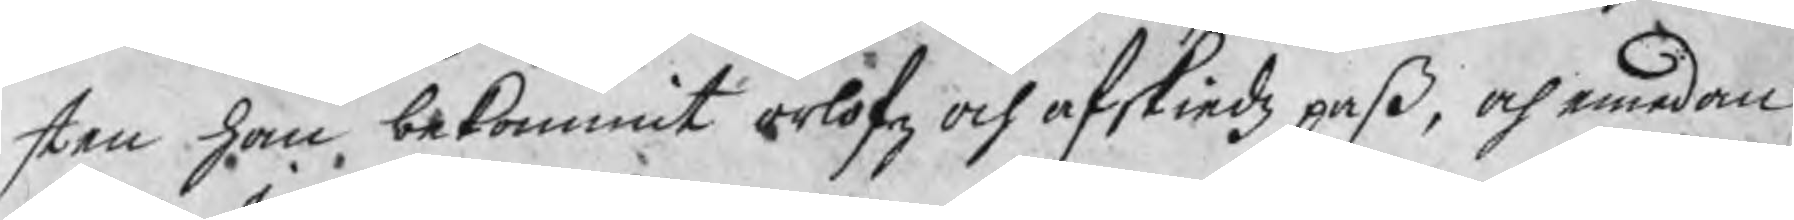sten han bekommit orlofz och afskiedz paß, och emedan
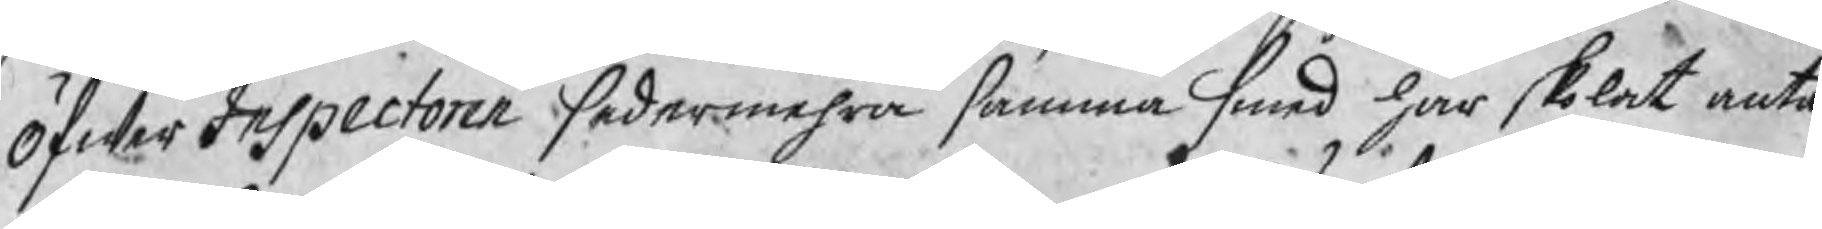ÖfwerInspectoren sedermehra samma smed har skolat inta¬
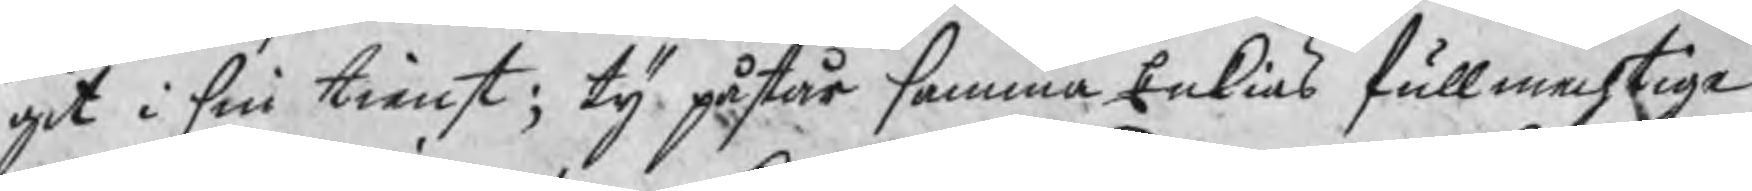git i sin tienst; ty påstår samma Enkias fullmechtige
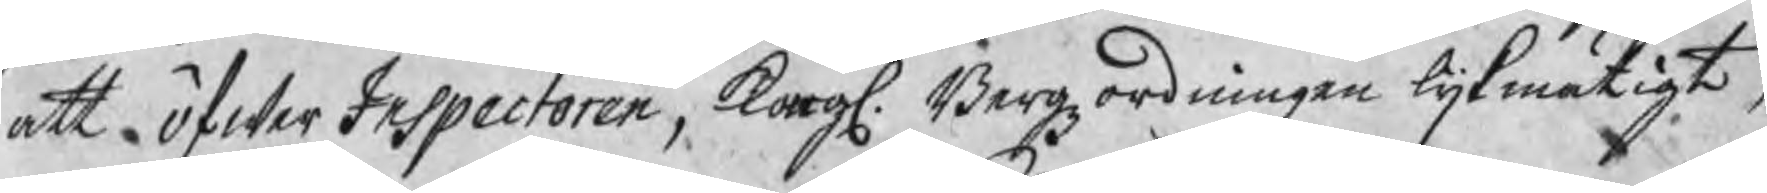att öfwerInspectoren, Kongl. Bergzordningen lijkmätigt,
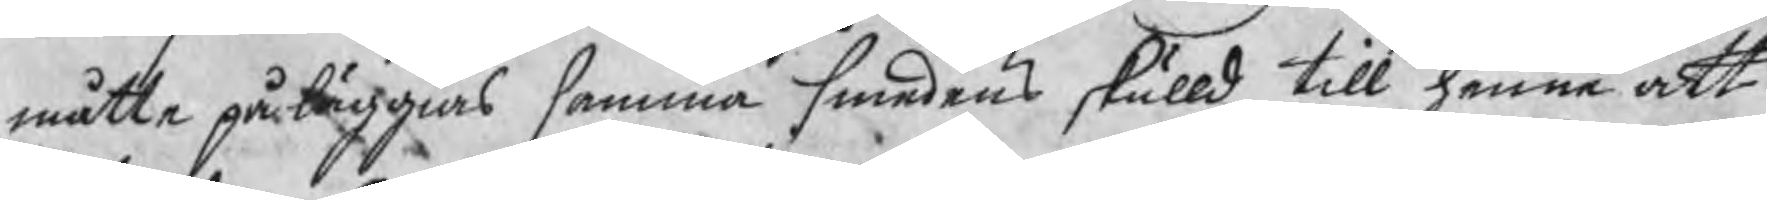måtte påläggias samma smedens skulld till henne att
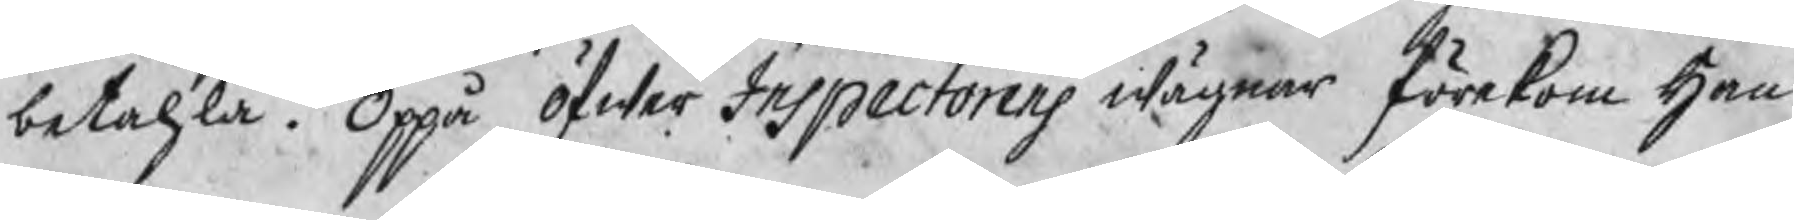betahla. Oppå öfwer Inspectorens wägnar förekom Han¬
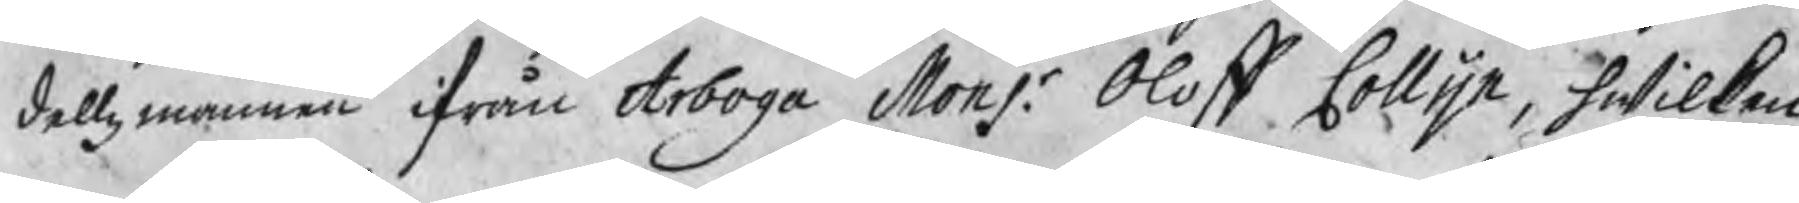dellzmannen ifrån Arboga Monsr. Olof Collijn, hwilken
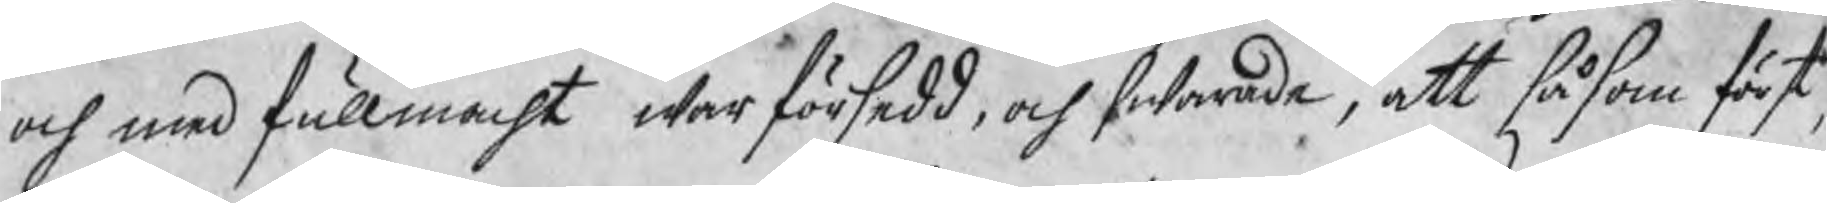och med fullmacht war försedd, och swarade, att såsom först
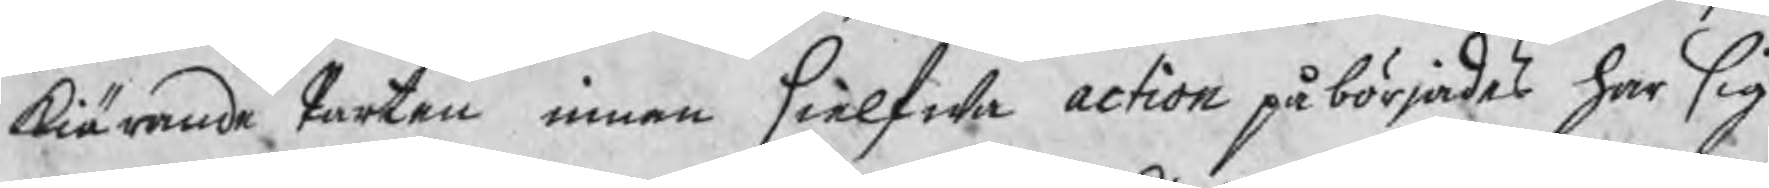kiärande Parten innan sielfwa action påbörjades har sig
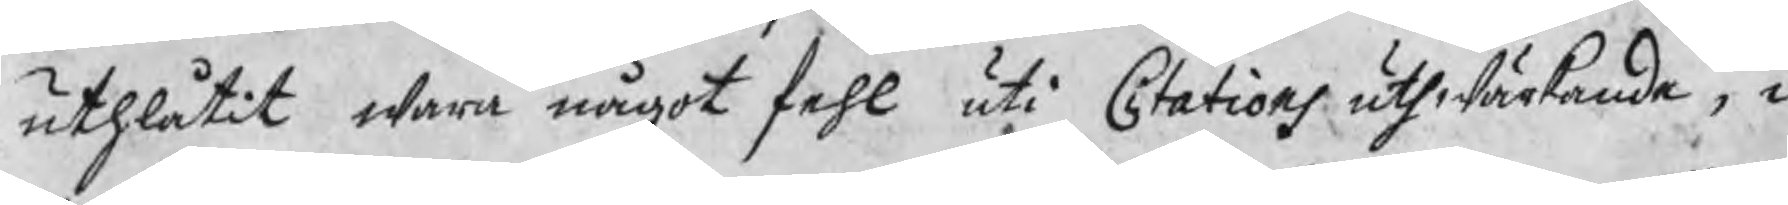uthlåtit wara något fehl uti Citations uthwärkande, i
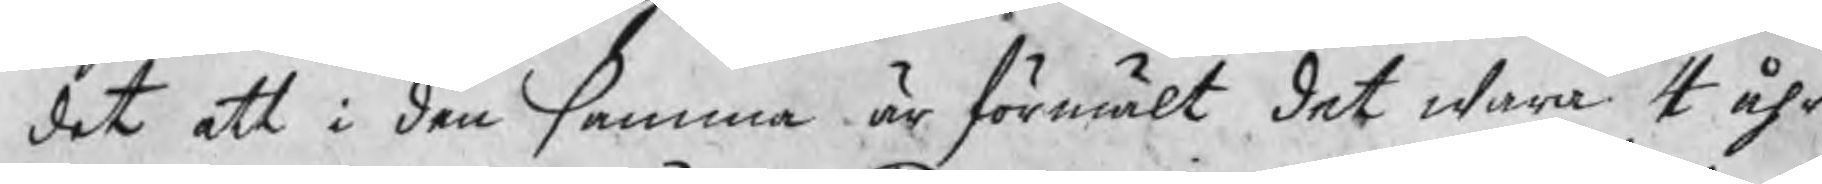det att i den samma är förmält det wara 4 åhr
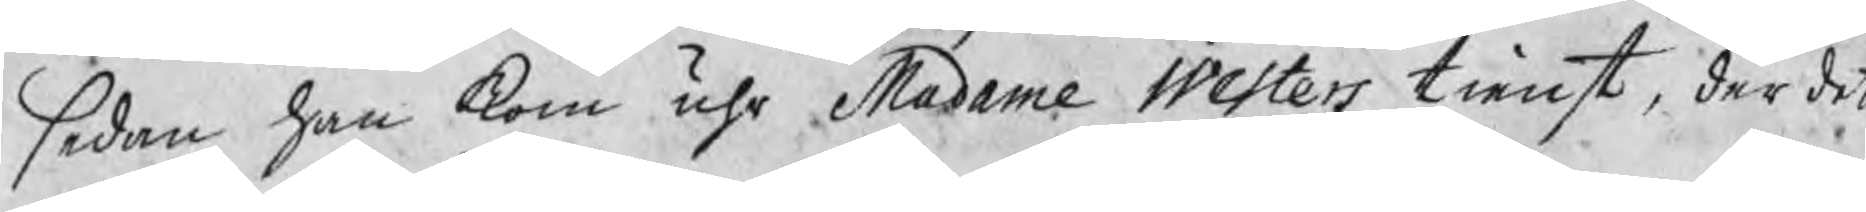sedan han kom uhr Madame Westers tienst, der det
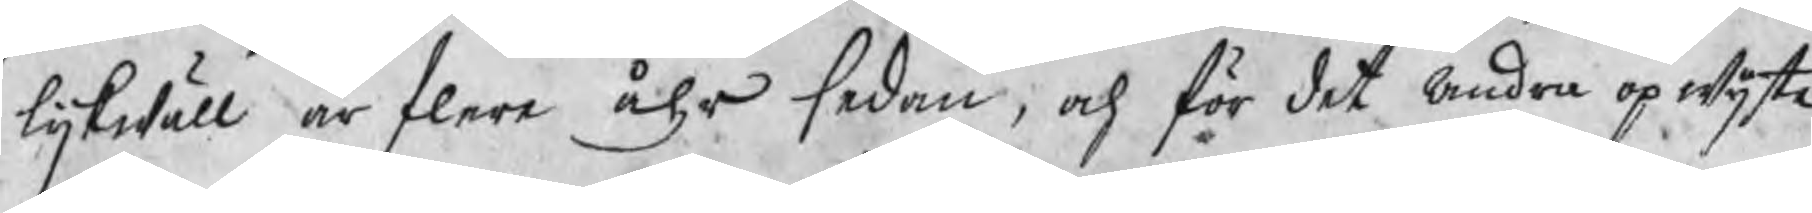lijkwäll är flere åhr sedan, och för det andra opwijste
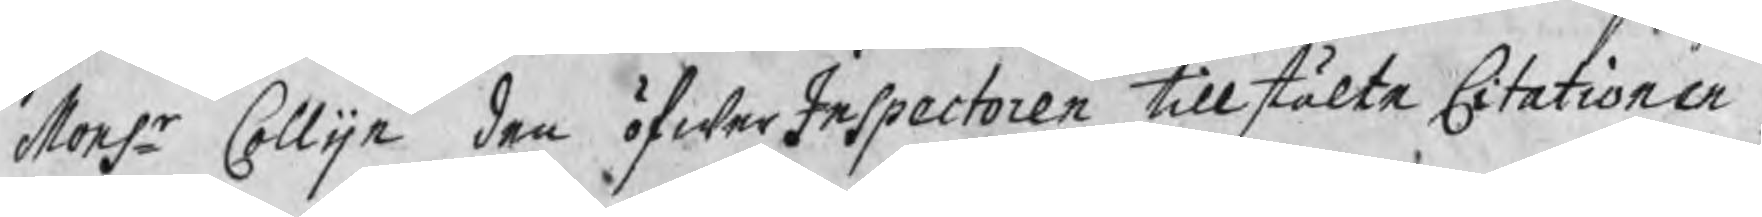Monsr Collijn den öfwerInspectoren tillstälte Citationen,
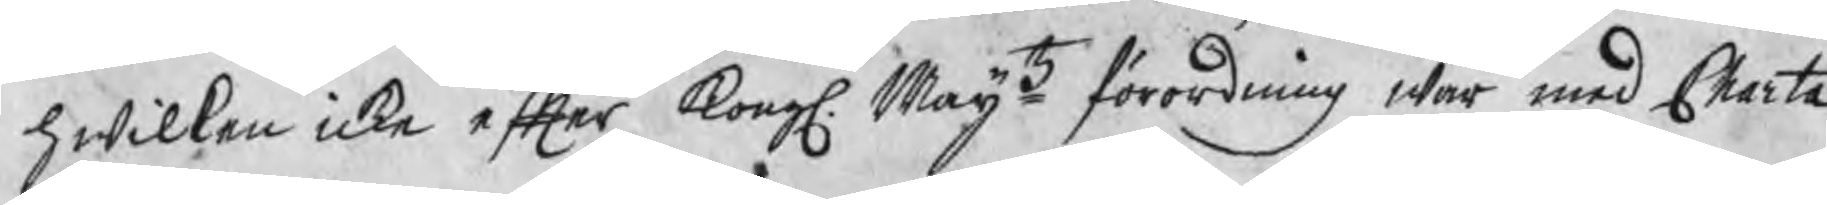hwilken icke efter Kongl. Maijtz förordning war med Charta
